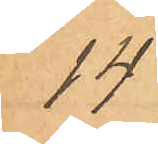14
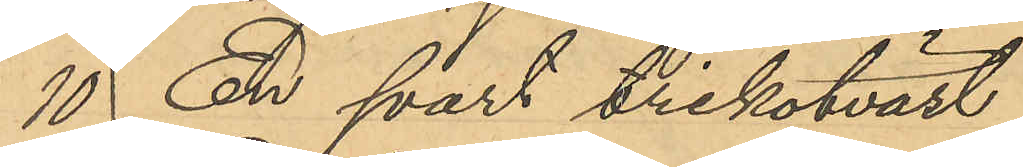10 En svart trikotväst
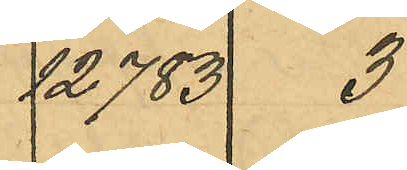12 783  3
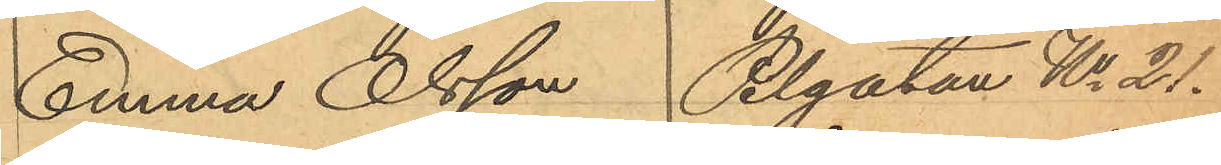Emma Olsson, Pilgatan No 21.
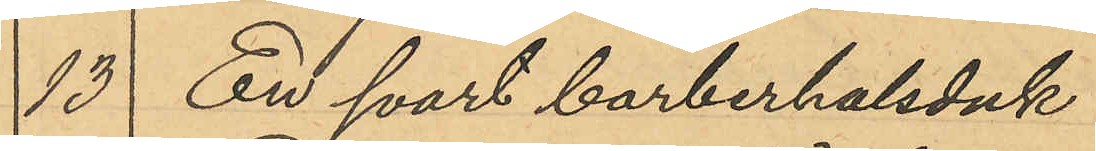13 En svart barberhalsduk
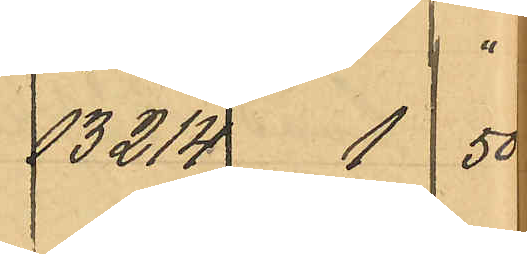13214  1  50
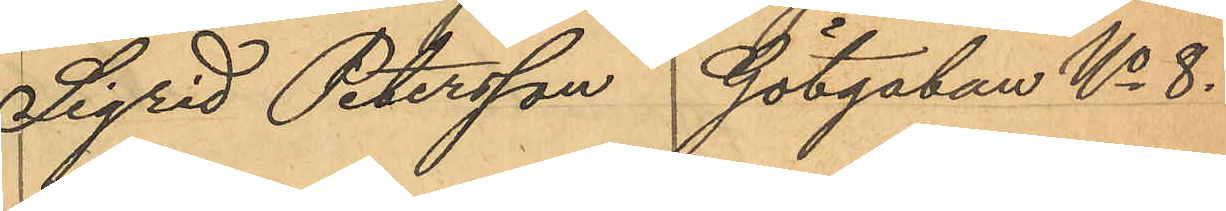Sigrid Petersson Götgatan No 8.
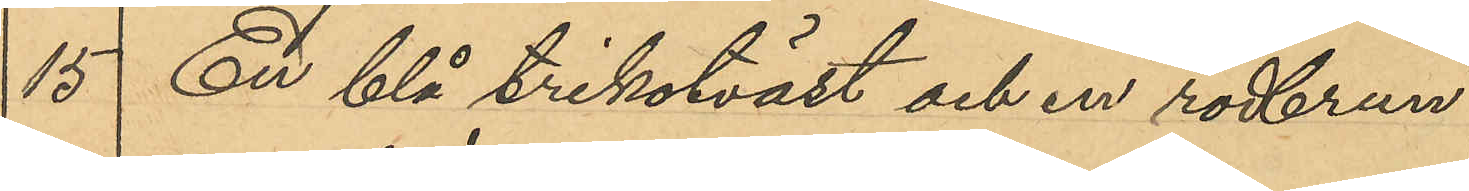15 En blå trikotväst och en rödbrun
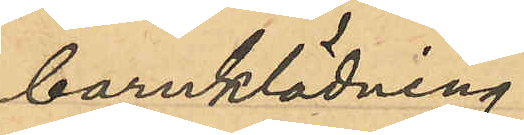barnklädning.
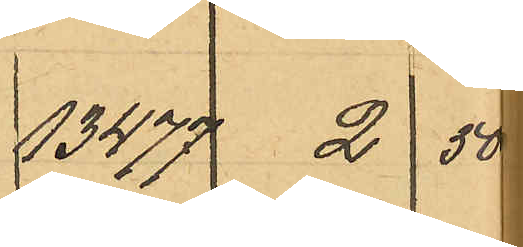13477 2  50
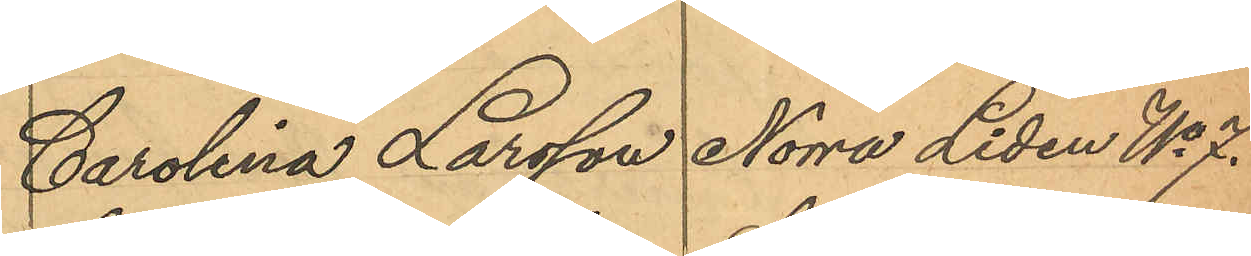Carolina Larsson Norra Liden No 7.
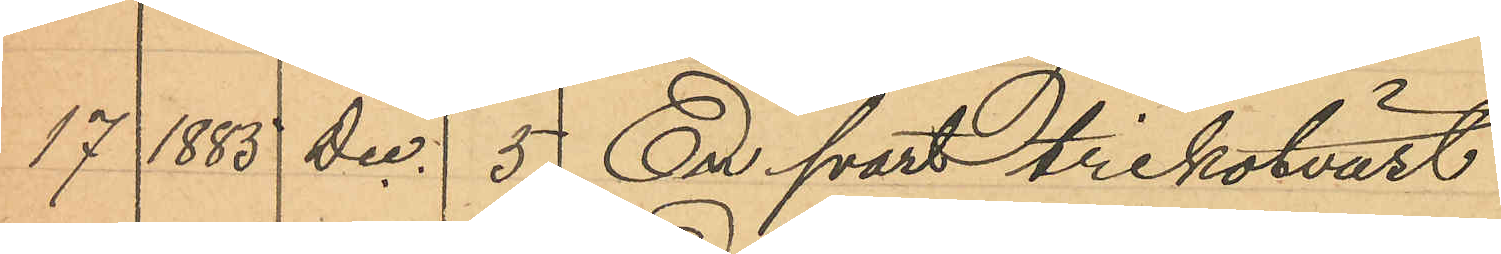17 1885 Dec 5 En svart trikotväst
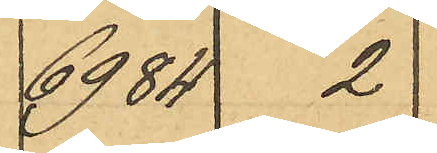6984  2
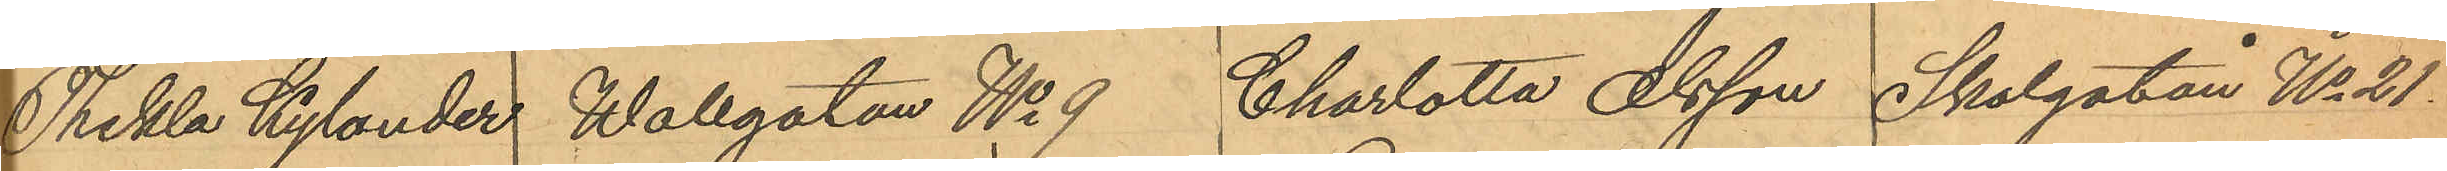Thekla Kylander Wallgatan No 9  Charlotta Olsson Skolgatan No 21.
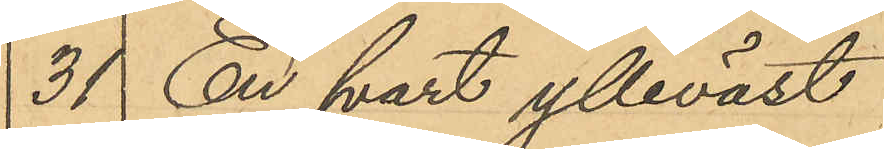31 En svart ylleväst
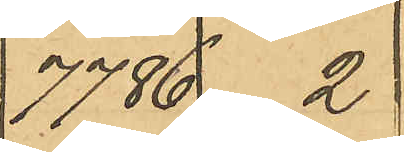7786  2
